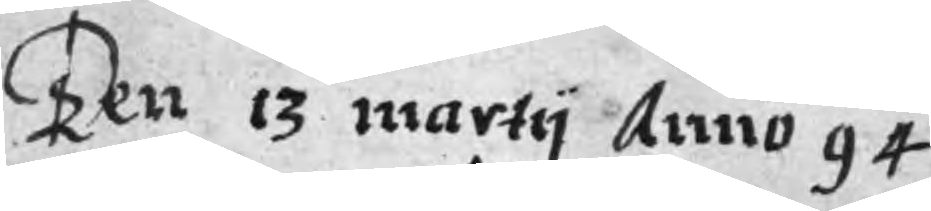Ten 13 martij Anno 94
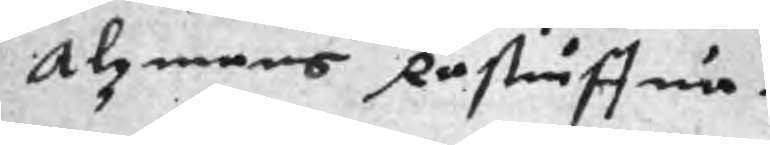Alzmans Råstuffua.
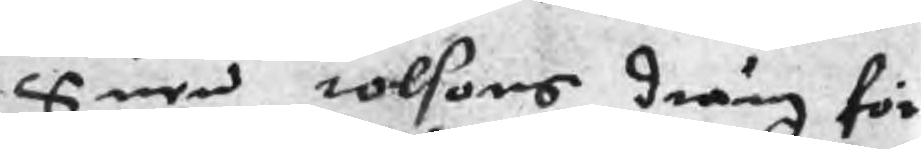Suen tolsons dräng för
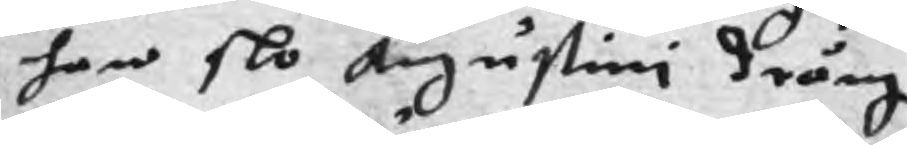han slo Augustini dräng.
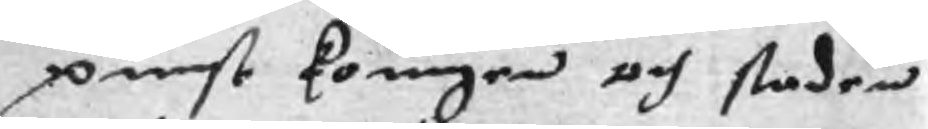punst koungen och staden
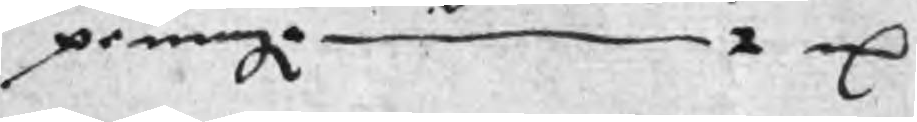peningr 2 mC
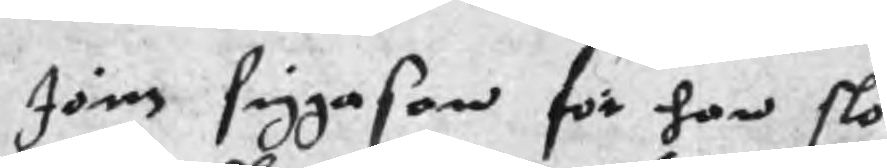Jöns siggason för han slo
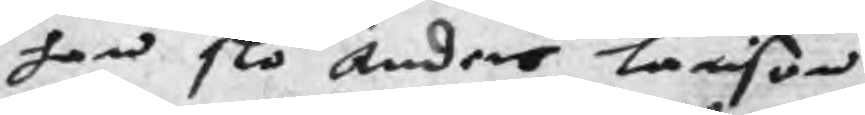han slo Anders Larison
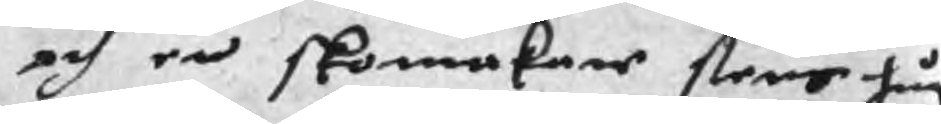och en skomakare flere hug
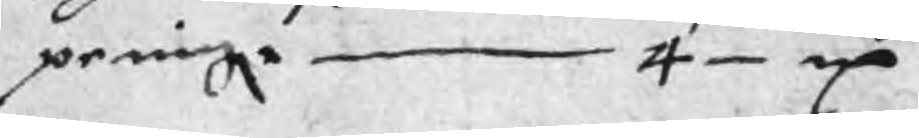peningr 4 mC
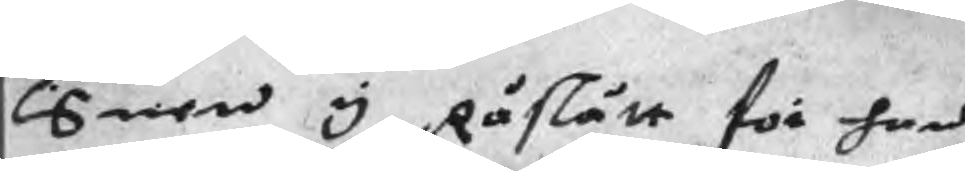Suen y Råslätt för han
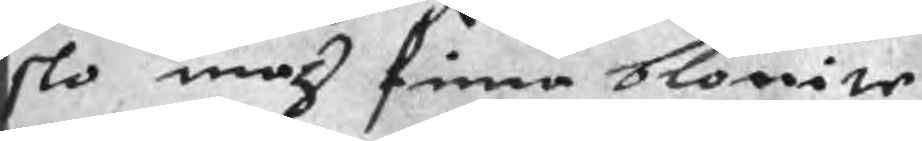slo maz finna blovite
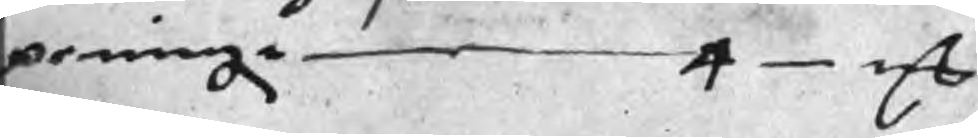peningr 4 mC
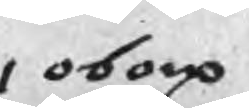i oborp
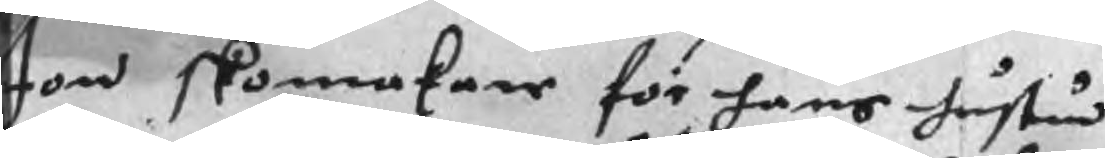Jon skomakare för hans hustru
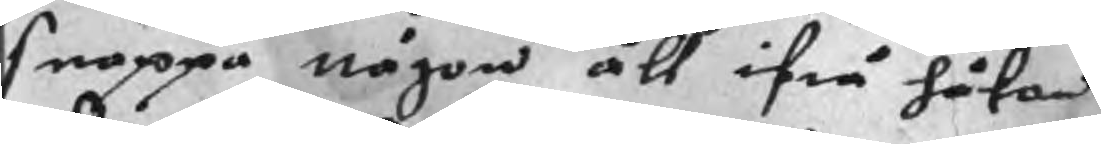snappa någon åll ifrå håkan
